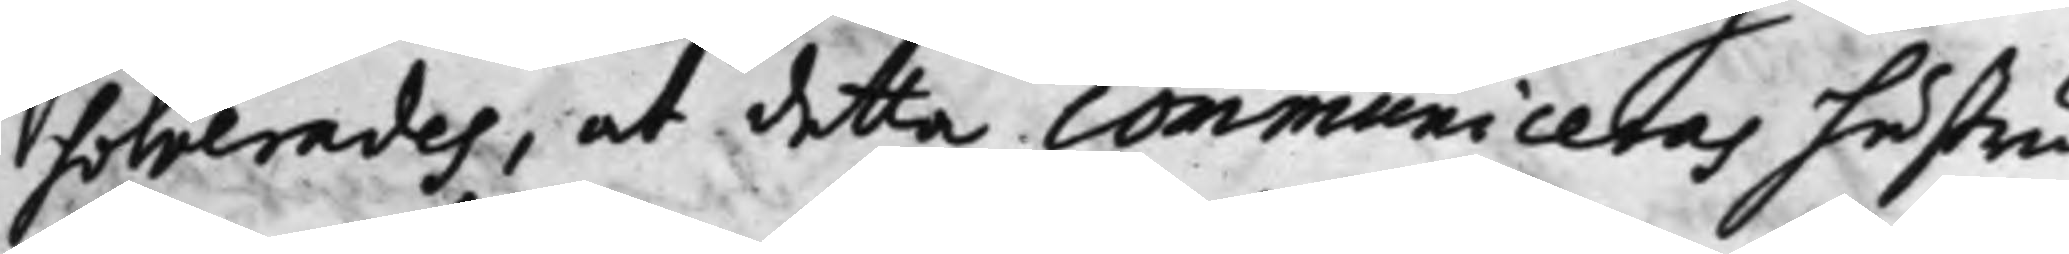solverades, at detta communiceras hustru
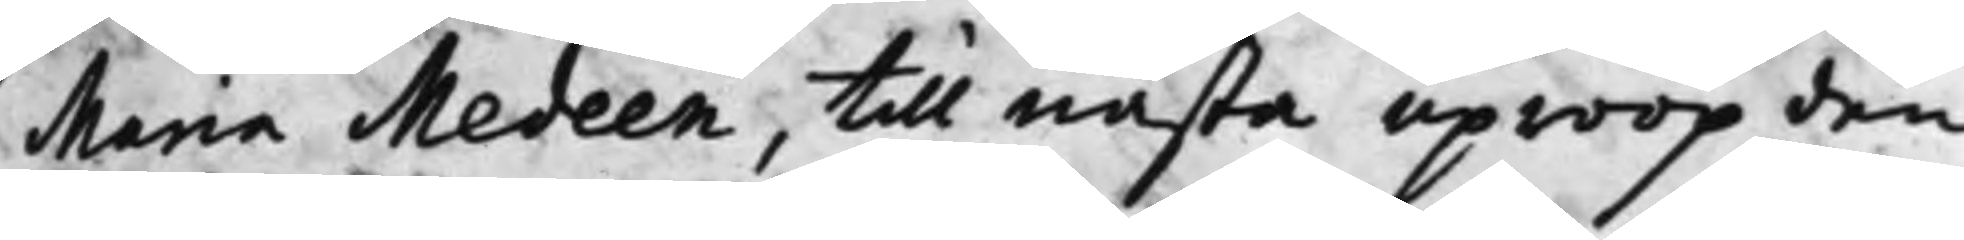Maria Medeen, till nästa uproop den
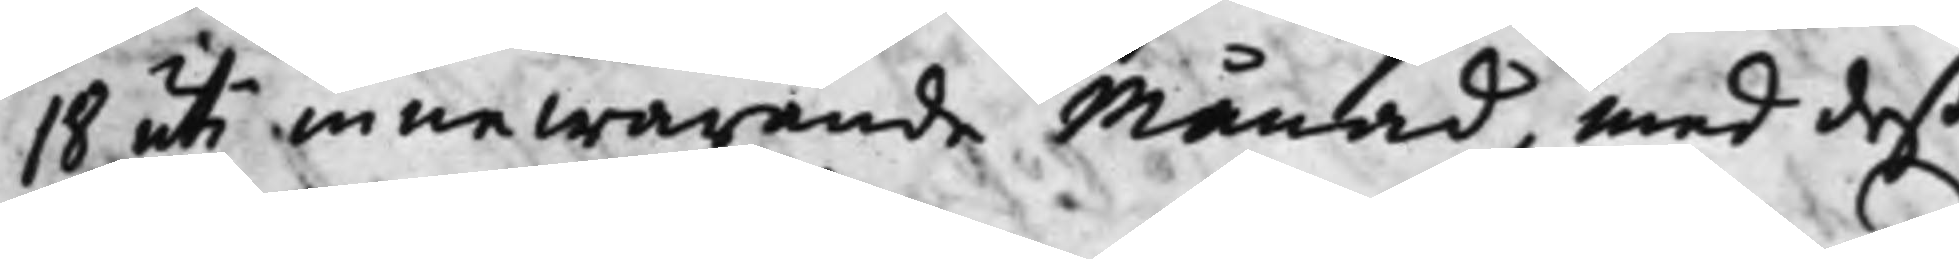18 uti innewarande Månad, med deß
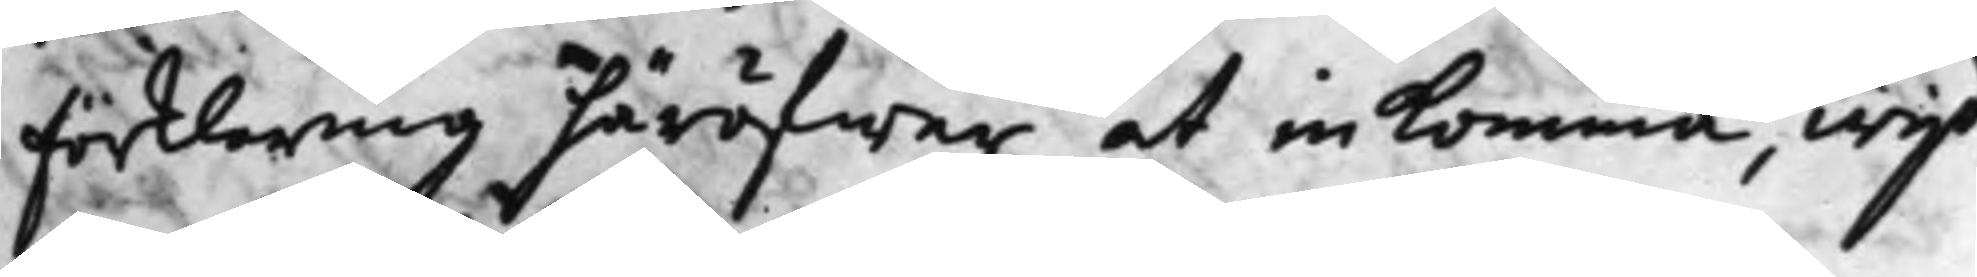Förklaring häröfwer at inkomma, wijd
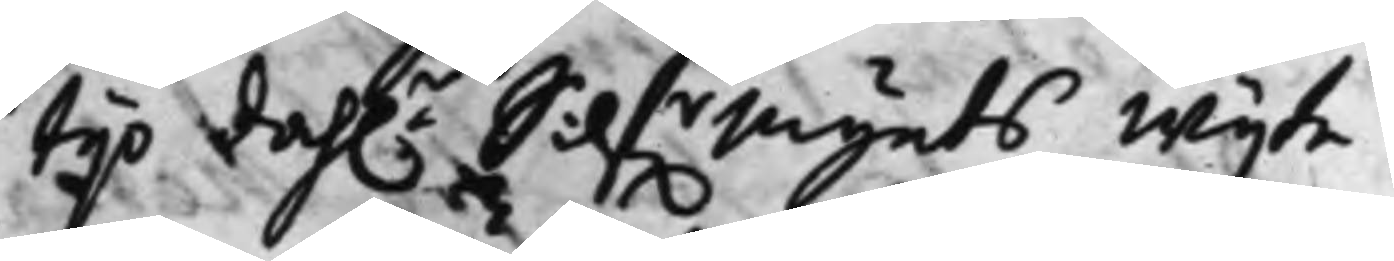tijo dah.r Silf.rMynts Wijte.
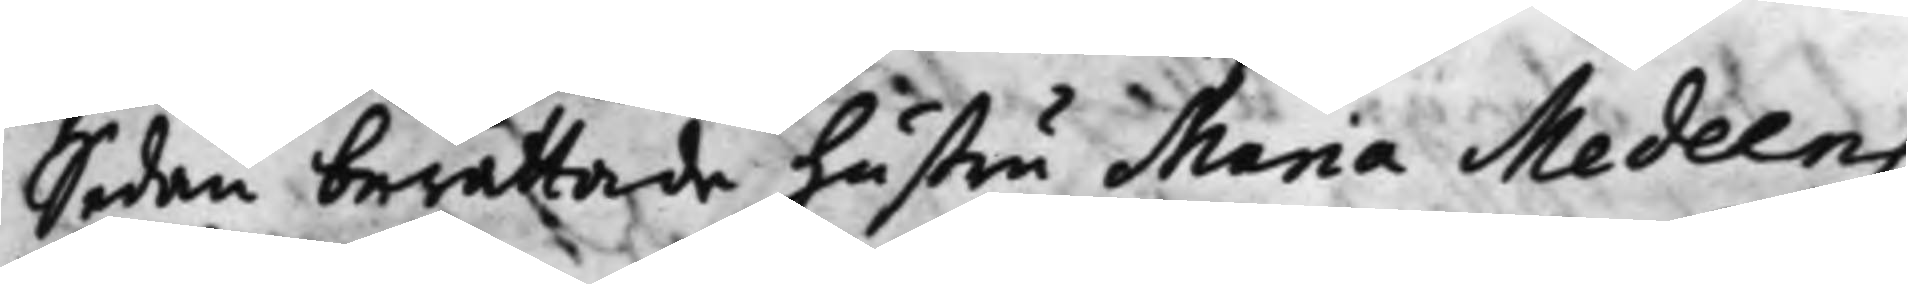Sedan berättade hustru Maria Medeens
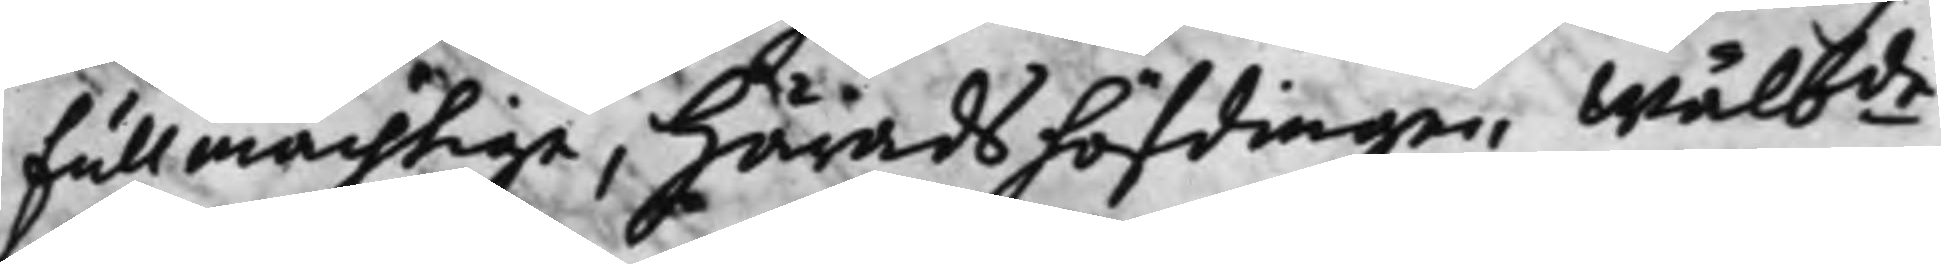Fullmächtige, Häradshöfdingen Wälb.de
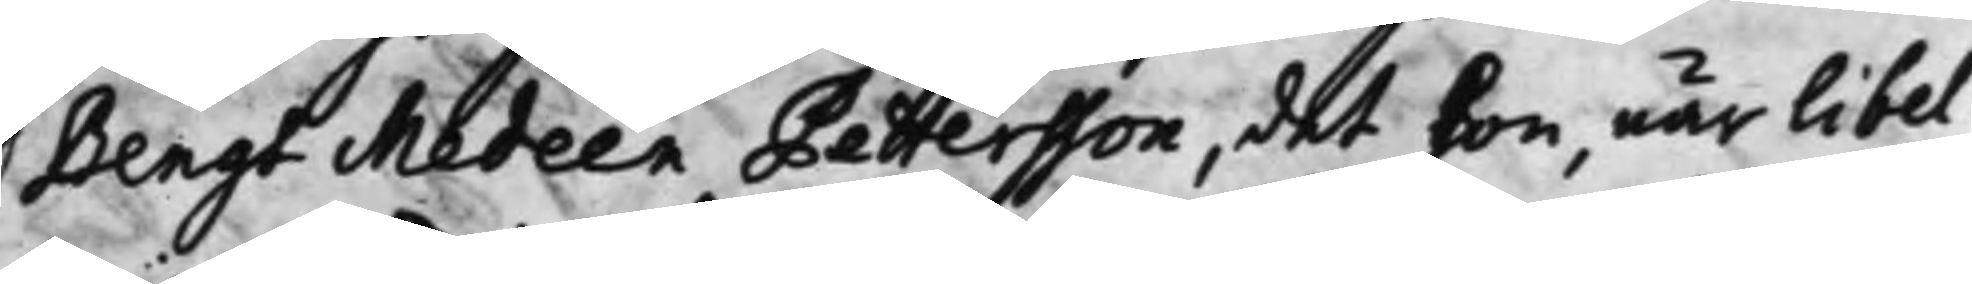Bengt Medeen Pettersson, det hon, när Libel¬
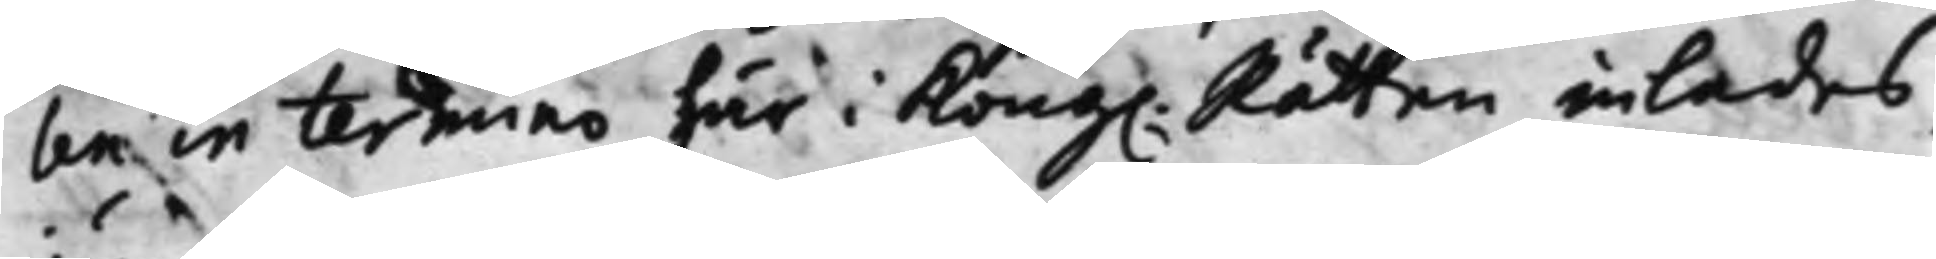len in termino här i Kong. Rätten inlades,
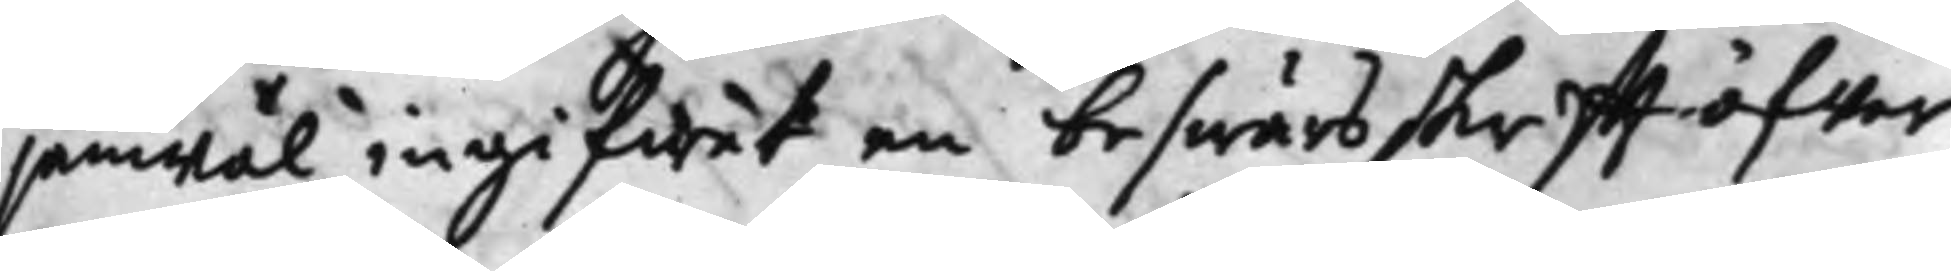jämwäl ingifwet en beswärsskrifft öfwer
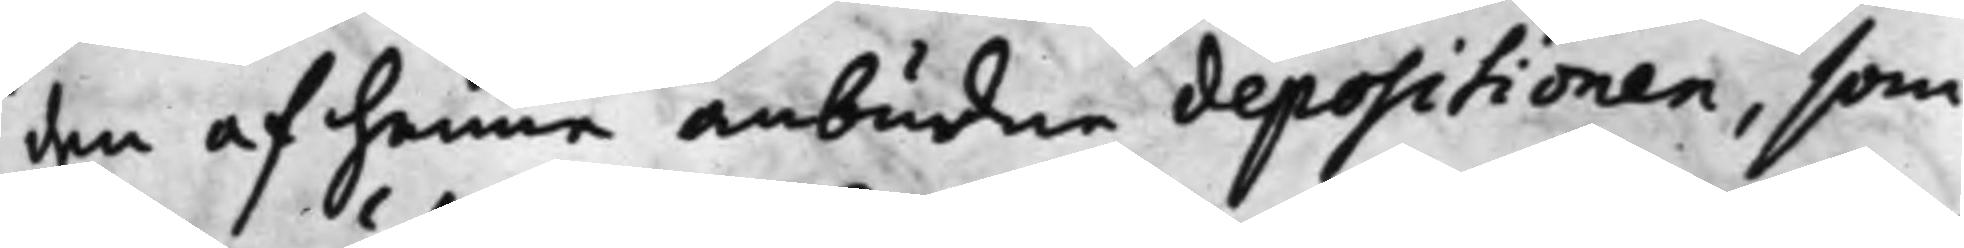den af henne anbudne depositionen, som
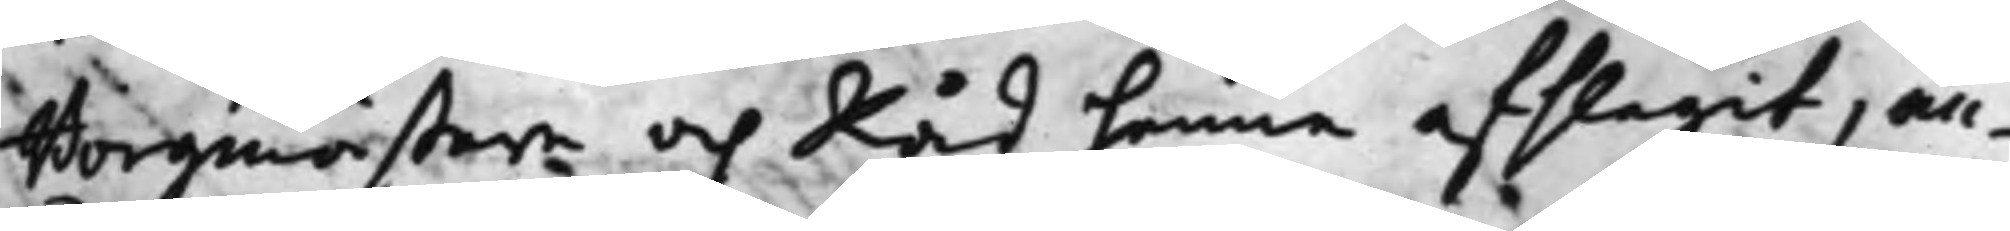Borgmästar.n och Råd henne afslagit, an¬
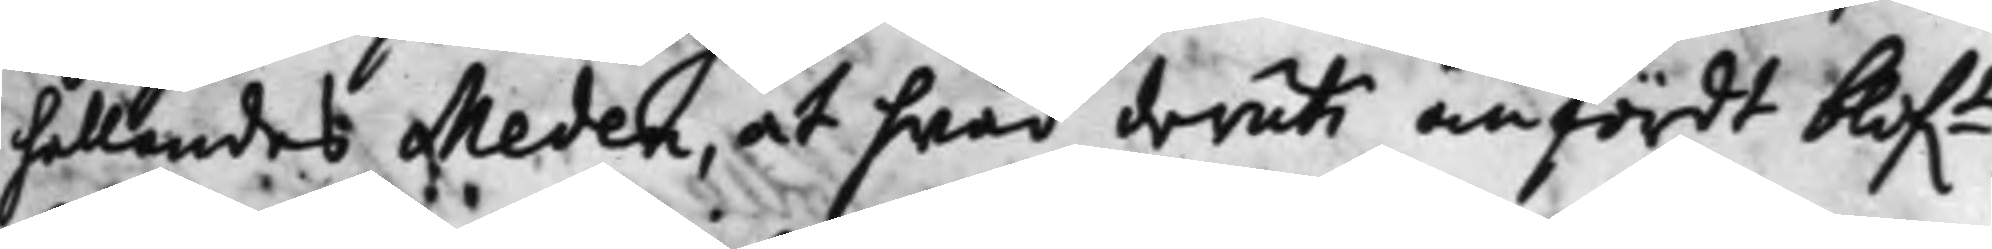hållandes Meden, at hwad deruti anfördt blif.t
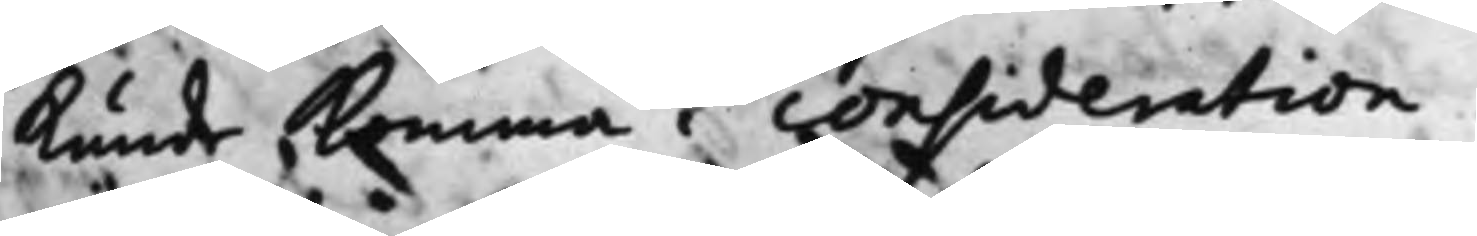Kunde Komma i consideration.
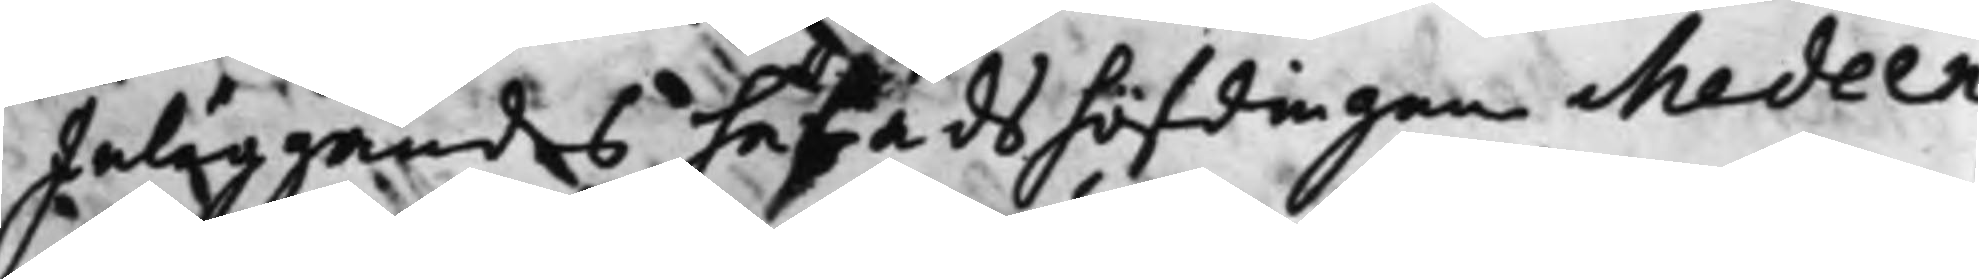Inläggandes häradshöfdingen Medeen
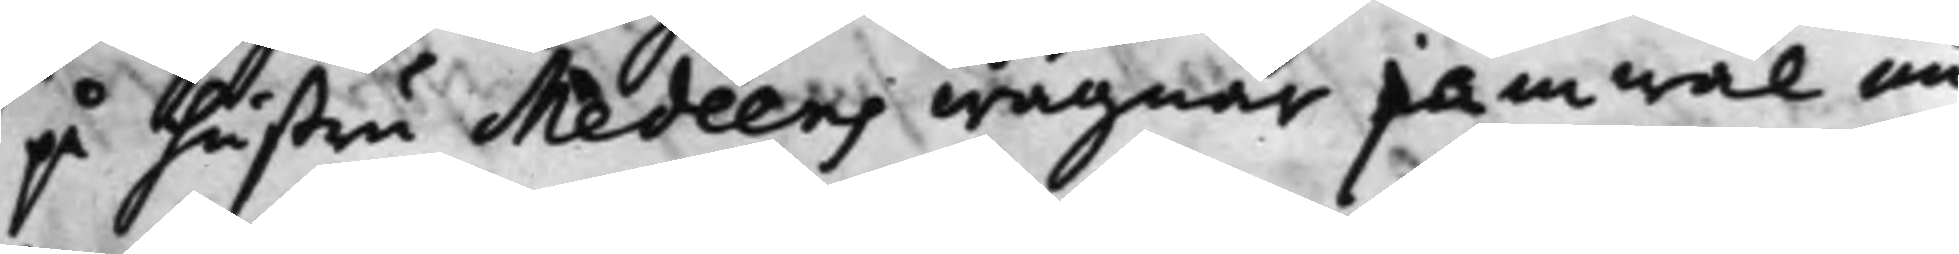på hustru Medeens wägnar jämwäl nu
